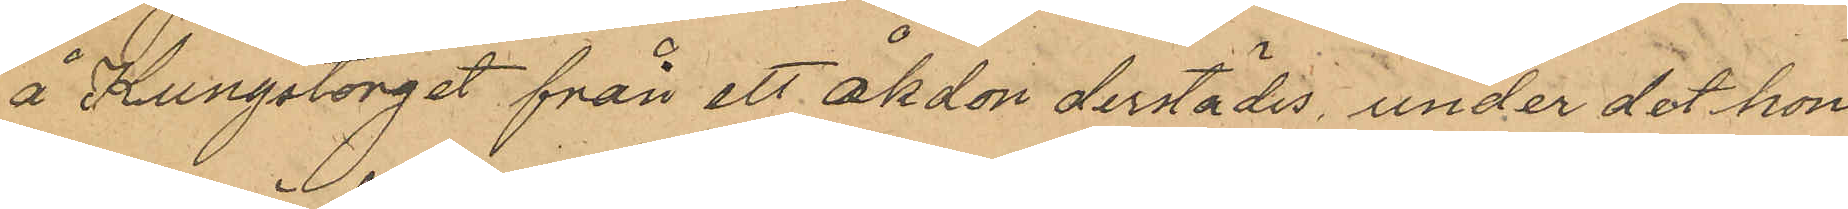å Kungstorget från ett åkdon derstädes under det hon
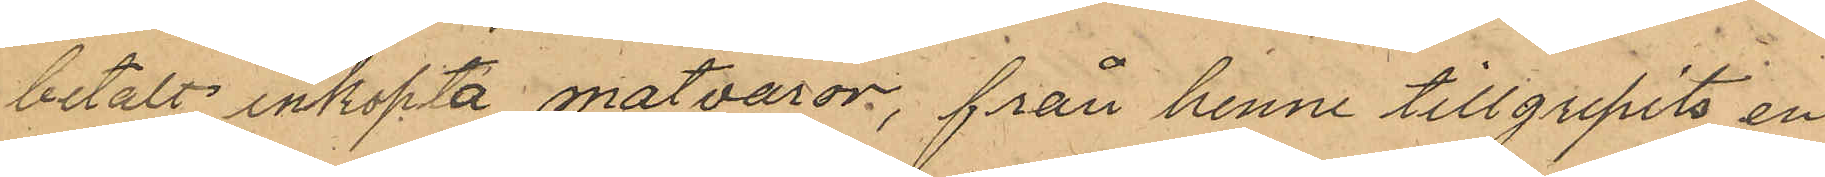betalt inköpta matvaror, från henne tillgripits en
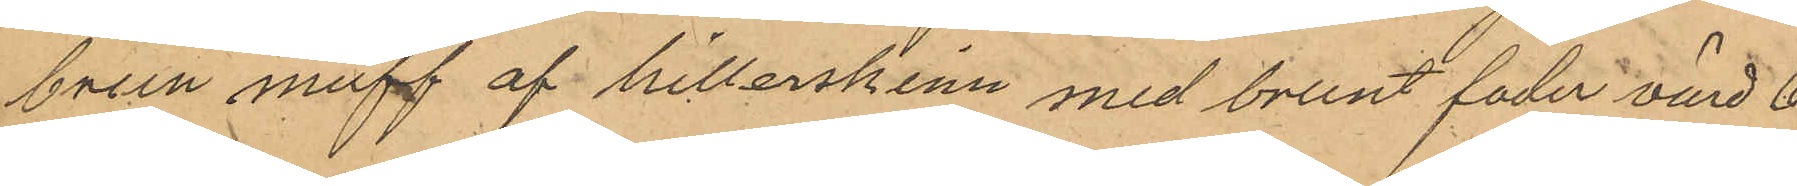brun muff af hillerskinn med brunt foder värd 6
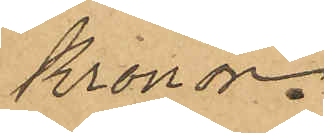Kronor.
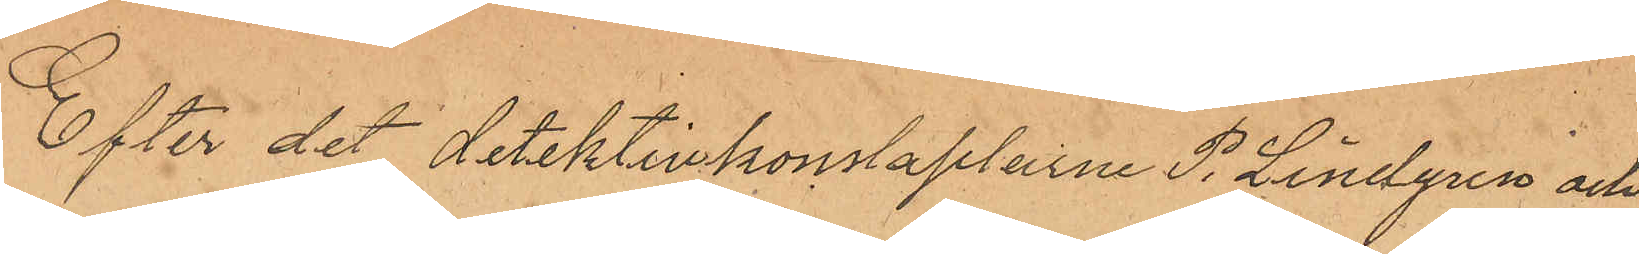Efter det detektivkonstaplarne P. Lindgren och 
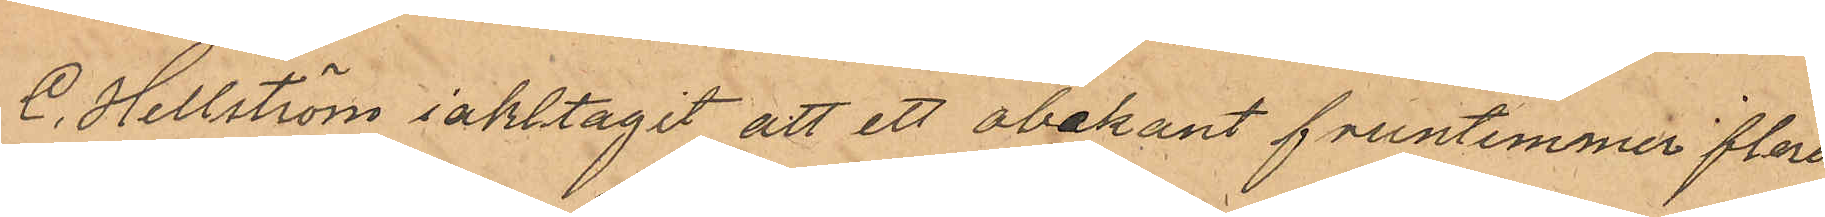C. Hellström iakttagit att ett obekant fruntimmer flera
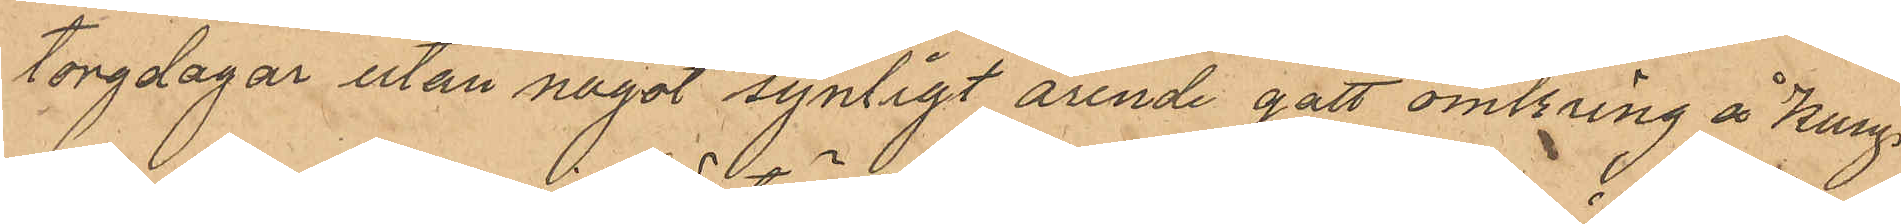torgdagar utan något synligt arende gått omkring å Kungs
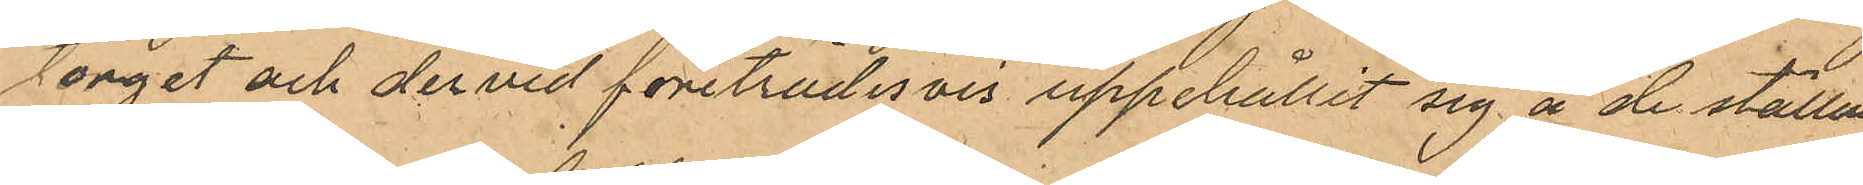torget och dervid företrädesvis uppehållit sig å de ställen
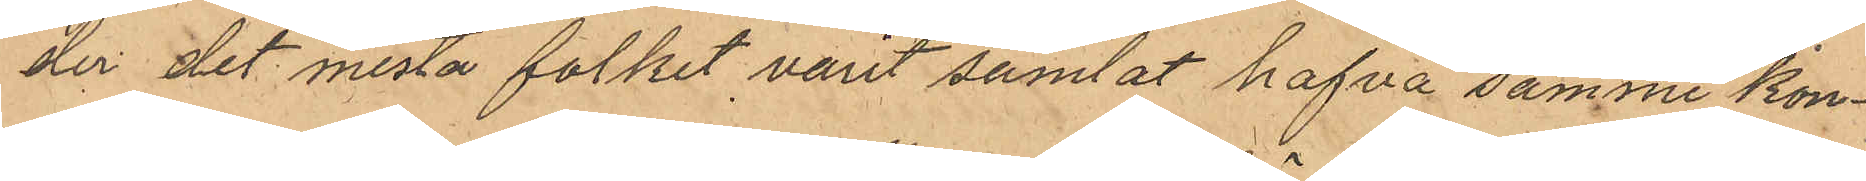der det mesta folket varit samlat hafva samme kon¬
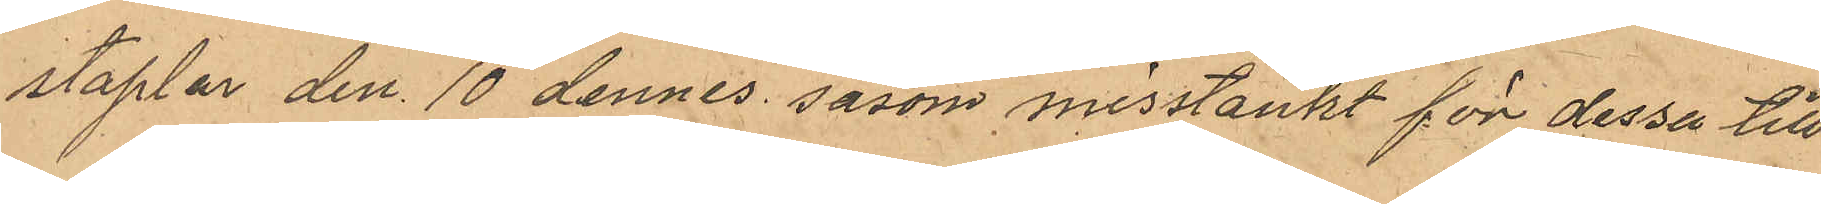staplar den 10 dennes såsom misstänkt för dessa till
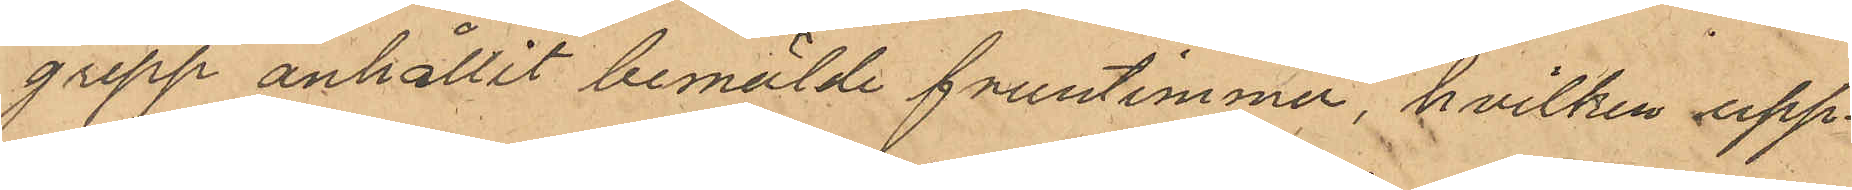grepp anhållit bemälde fruntimmer, hvilken upp¬
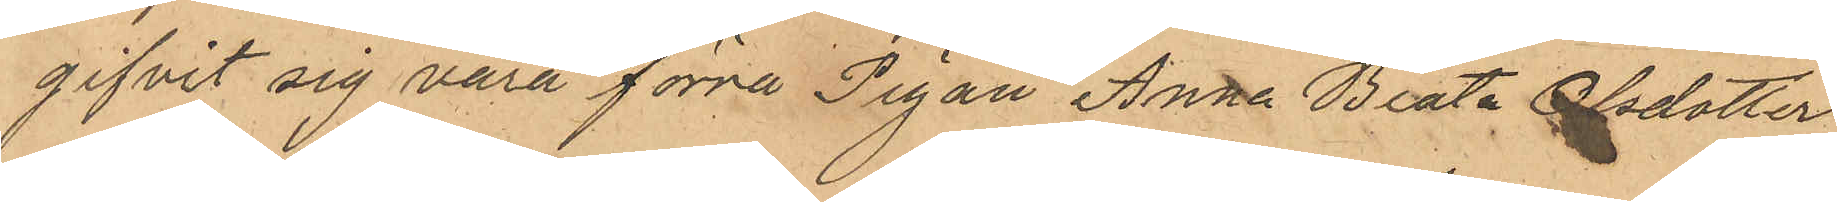gifvit sig vara förra Pigan Anna Beata Olsdotter
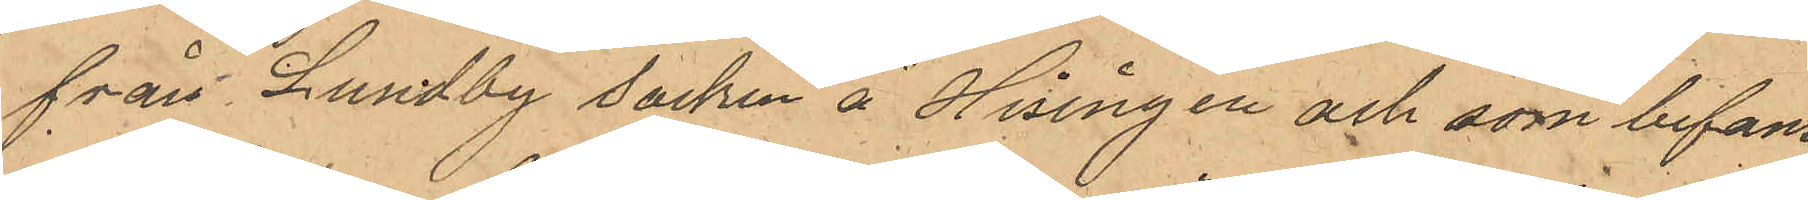från Lundby socken å Hisingen och som befans
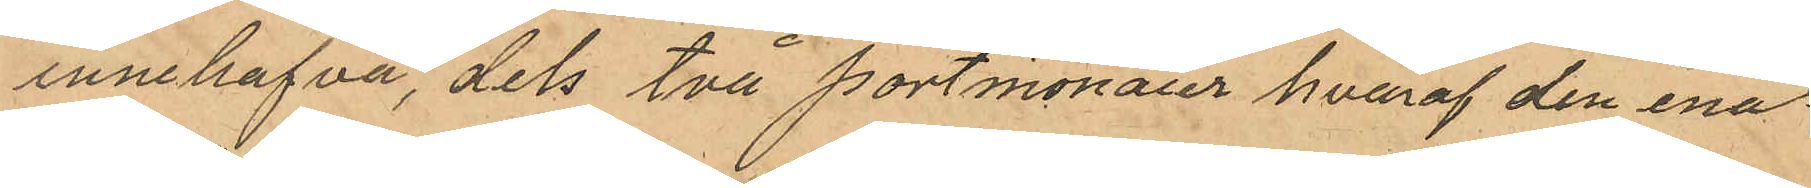innehafva, dels två portmonaier hvaraf den ena
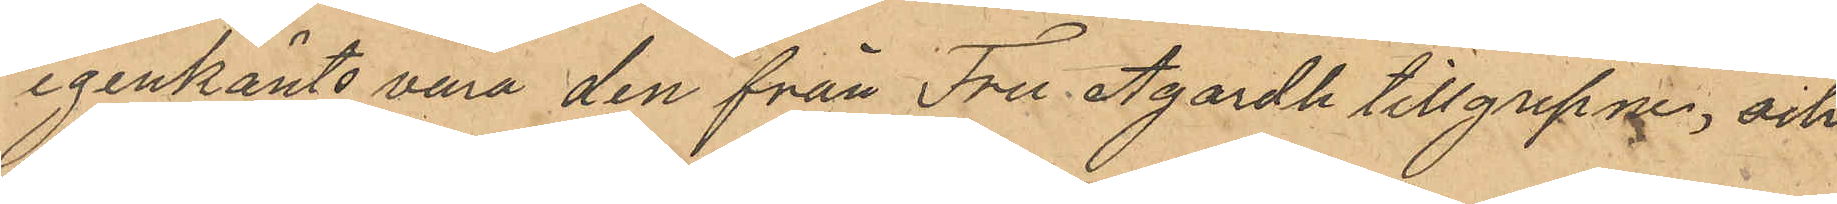igenkänts vara den från fru Agardh tillgrepne, och
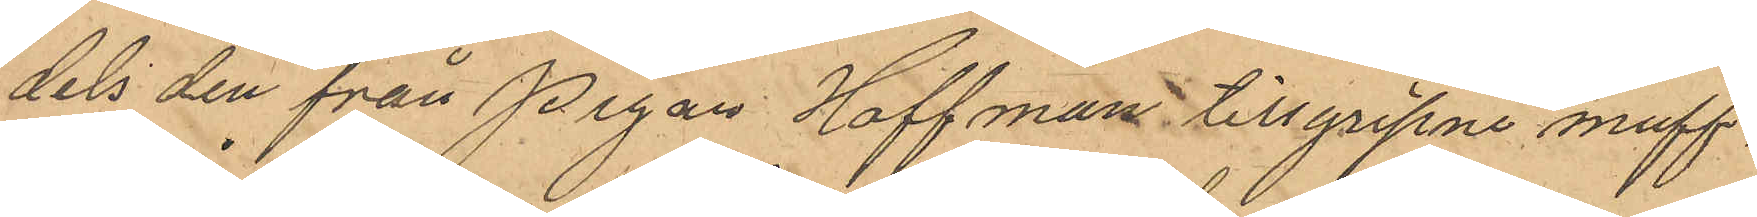dels den från Pigan Hoffman tillgripne muff.
